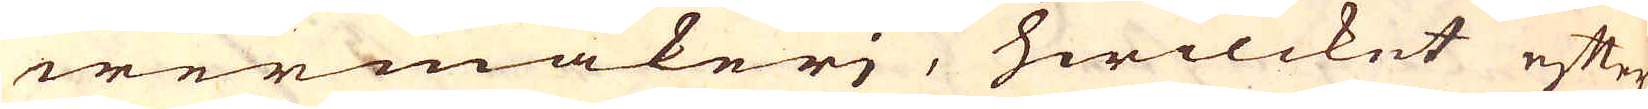wermakerj, hwilcket efter
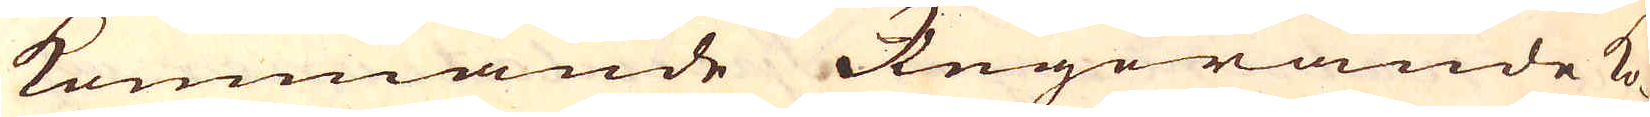kommande Regerande ko-
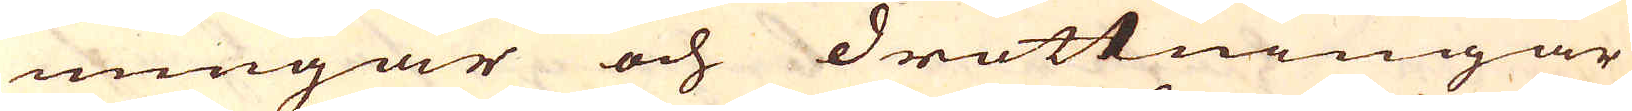nungar och drottningar
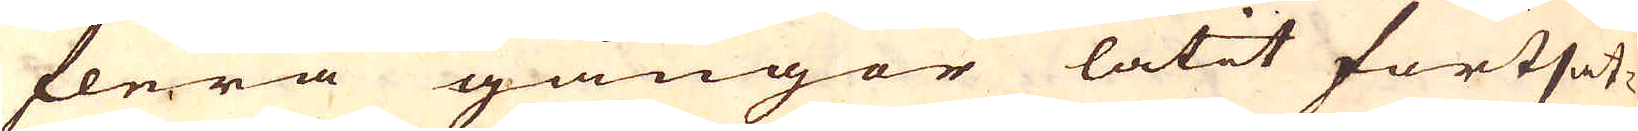flera gångor låtit fortsät-
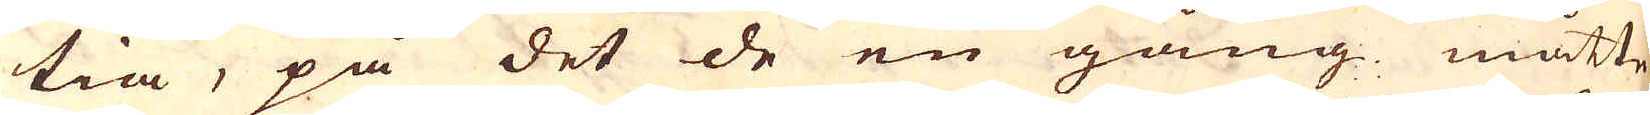tia, på det de en gång måtte
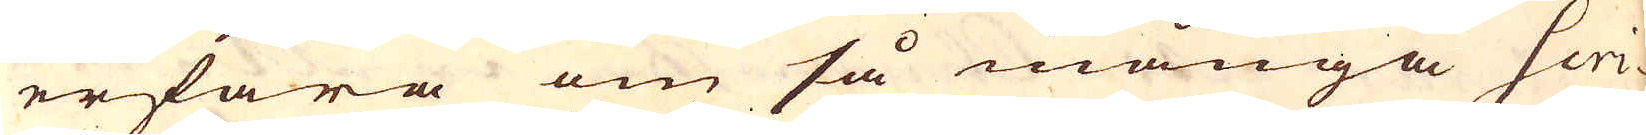erfara om så många Scri-
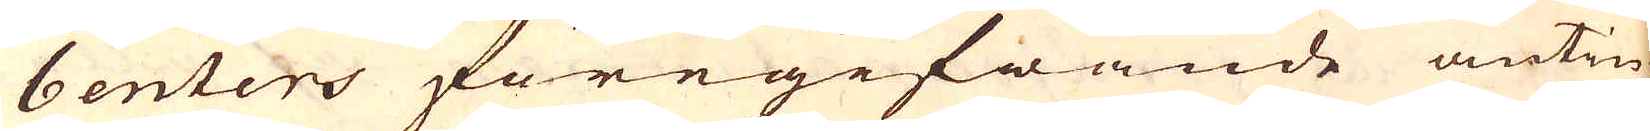benters föregifwande antin-
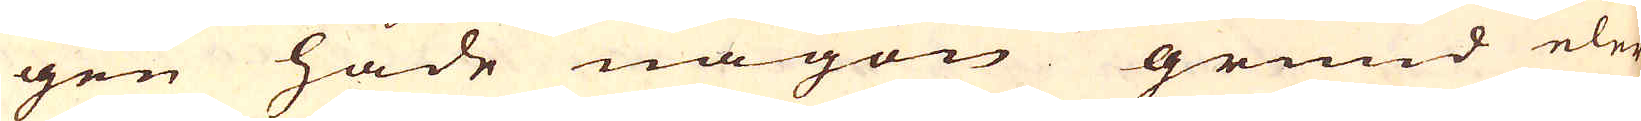gen hade någon grund eler
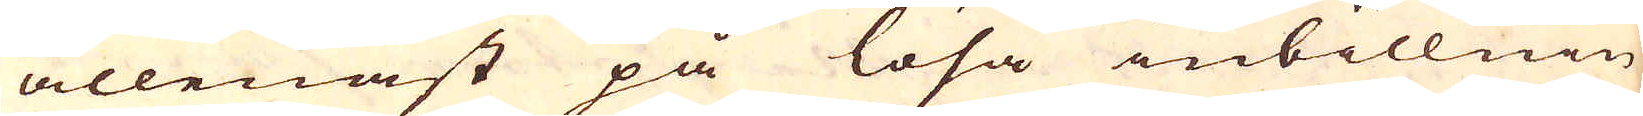allenast på lösa inbillnin-
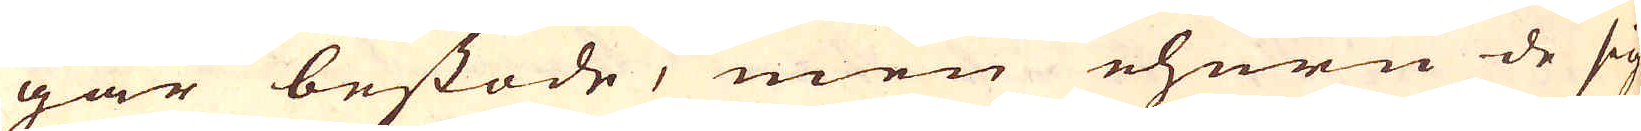gar bestode, men ehuru de sig
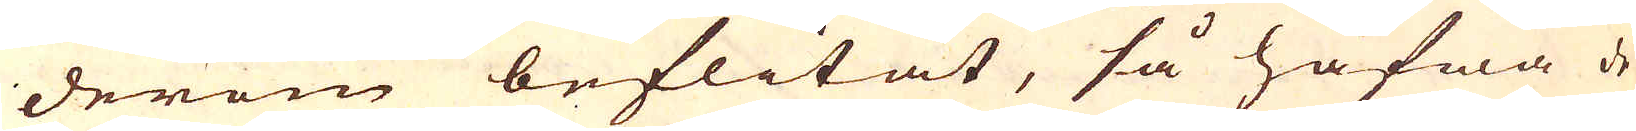derom beflitat, så hafwa de
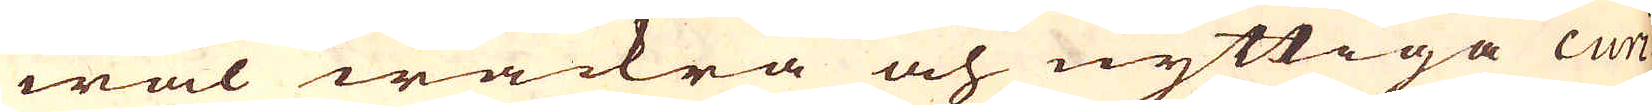wäl wackra och nyttiga curi-
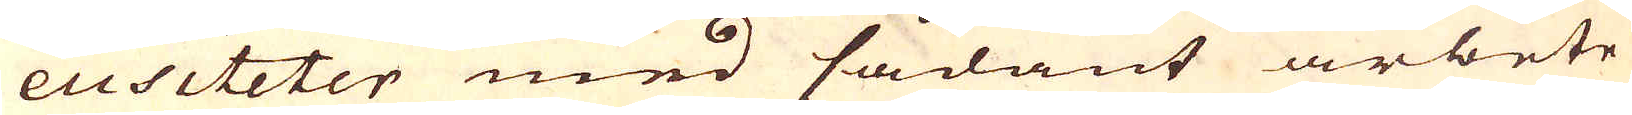eusiteter med sådant arbete
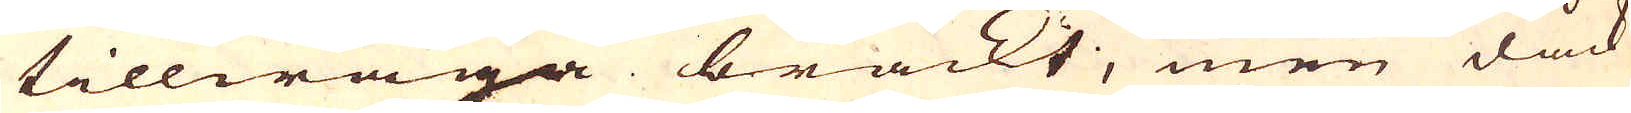tillwäga brackt, men dåck
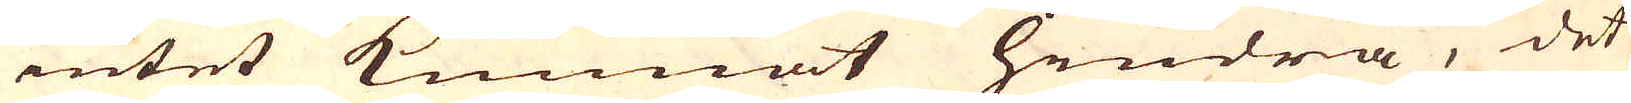intet kunnat hindra, det
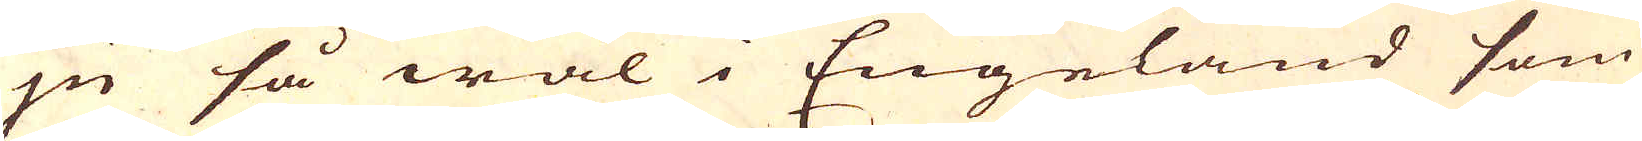ju så wäl i Engeland som
